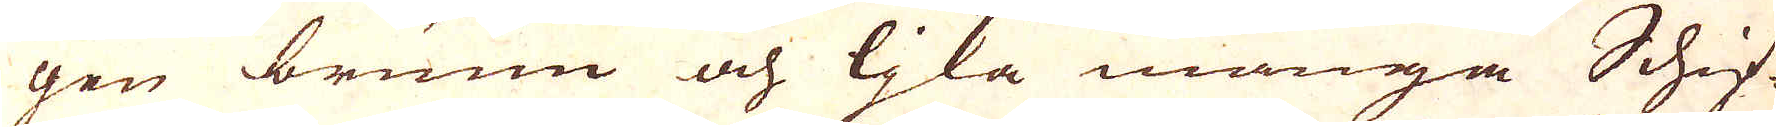gen brunn och ljka många Schif-
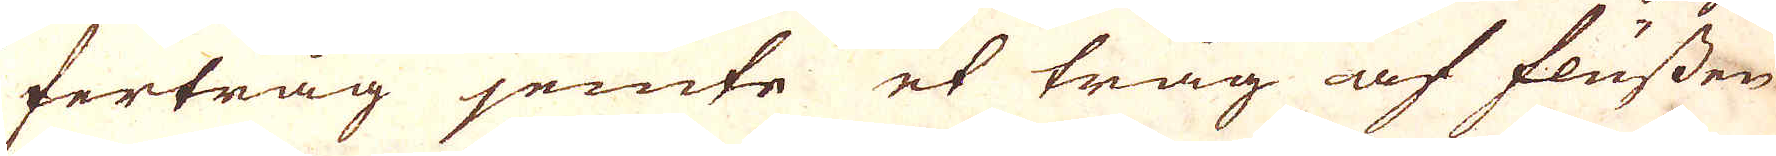fertråg jemte et tråg af flussen
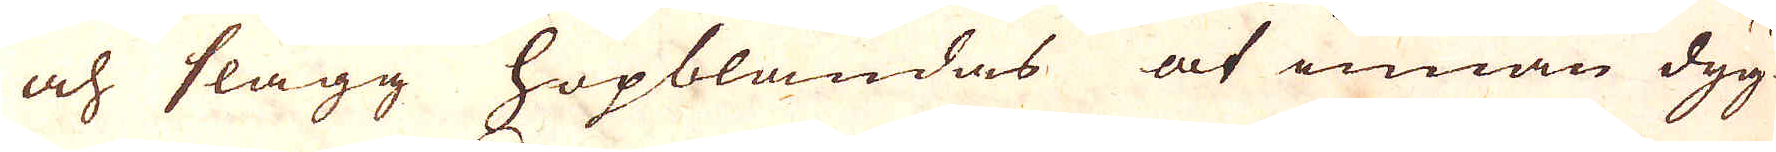och slagg hopblandas at innan dyg-
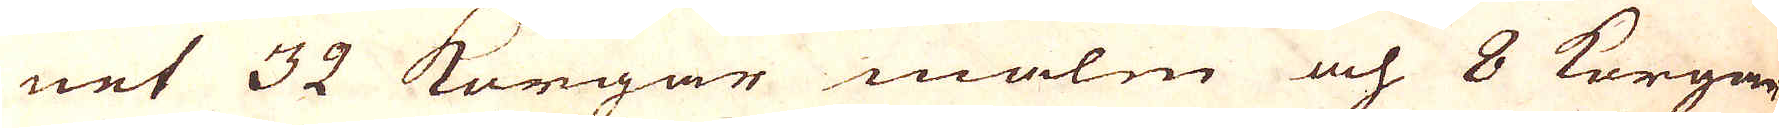net 32 Korgar malm och 8 Korgar
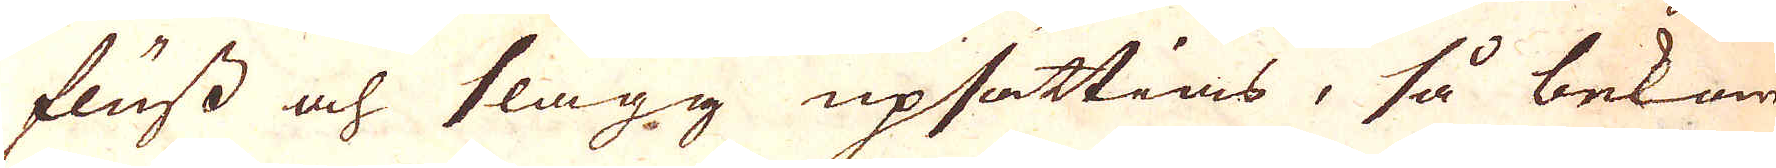fluss och slagg upsättias, så bekom-
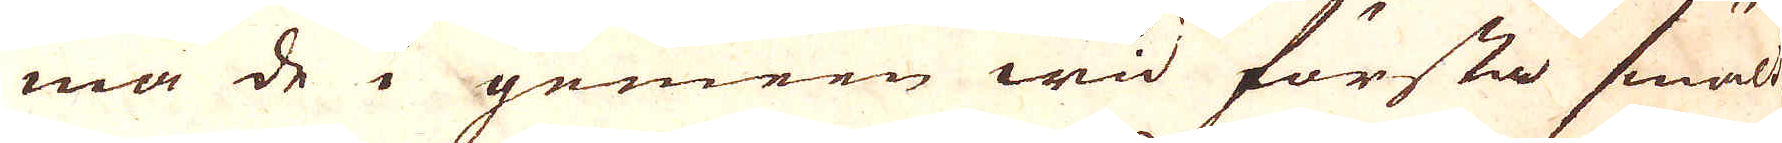ma de i gemen wid första smält-
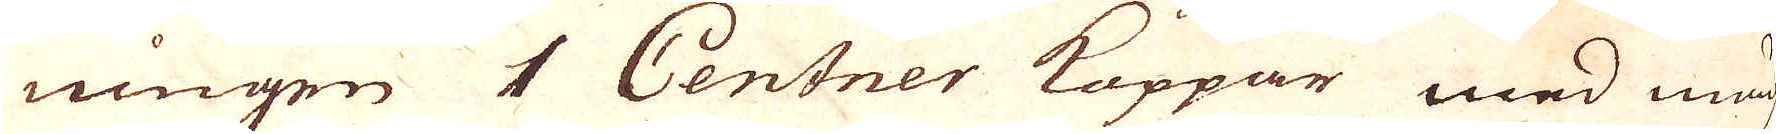ningen 1 Centner Koppar med mäch-
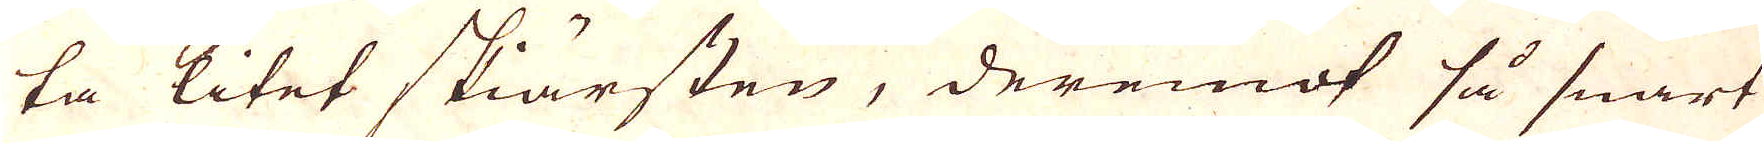ta litet skiärsten, deremot så snart
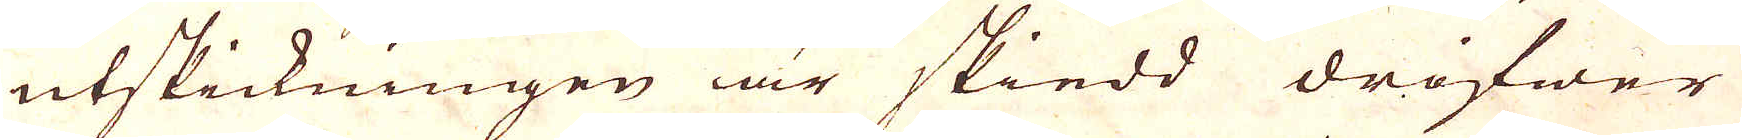utskickningen är skiedd drifwer
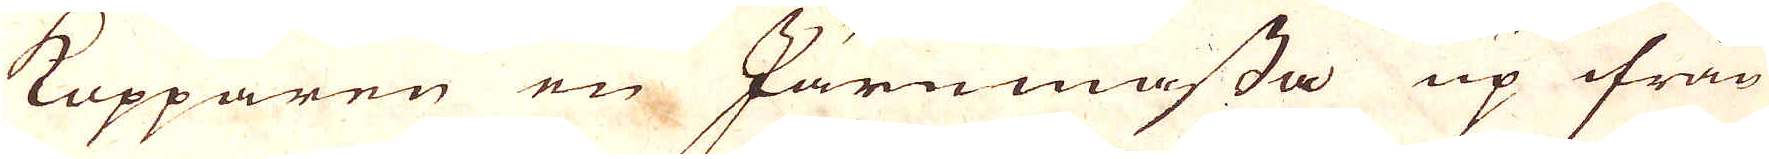Kopparen en Järnmassa up ifrån
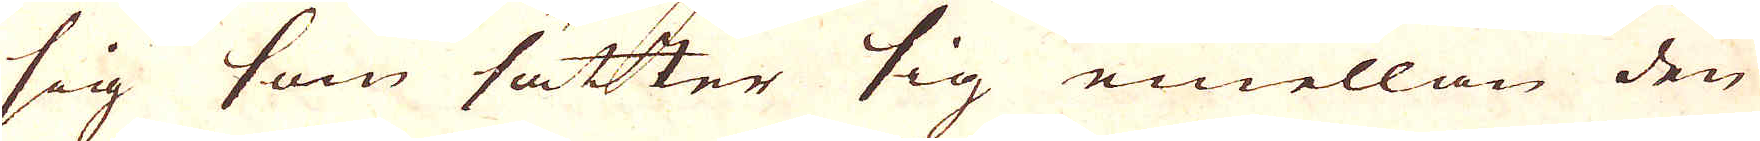sig som sätter sig emellan den
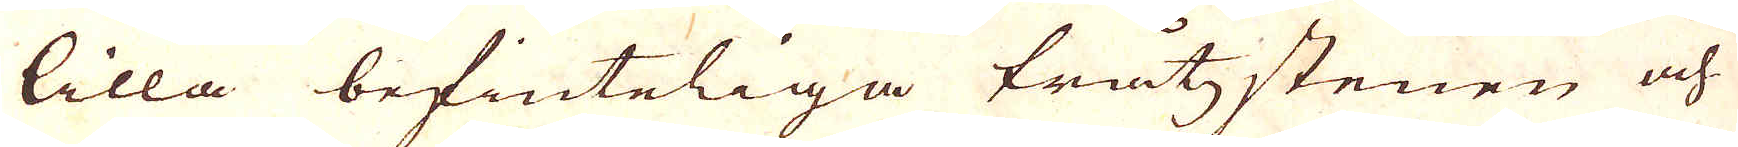lilla befinteliga tråtzstenen och
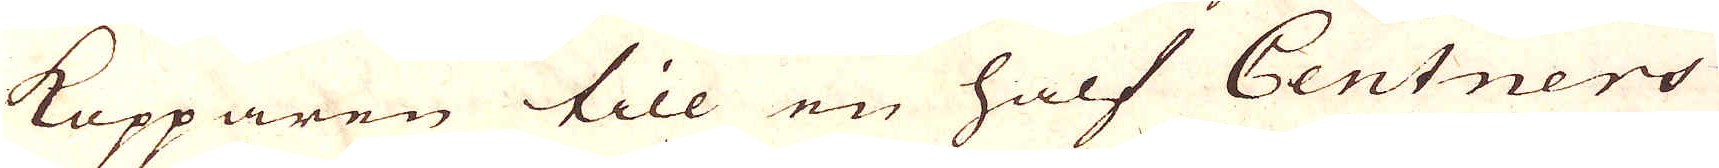Kopparen till en half Centners
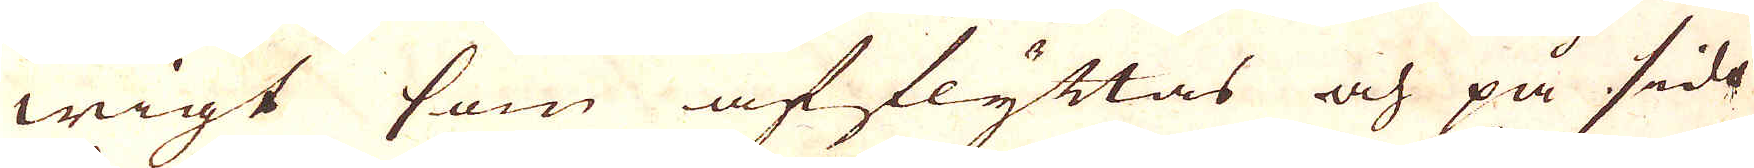wigt som afflyttas och på sido
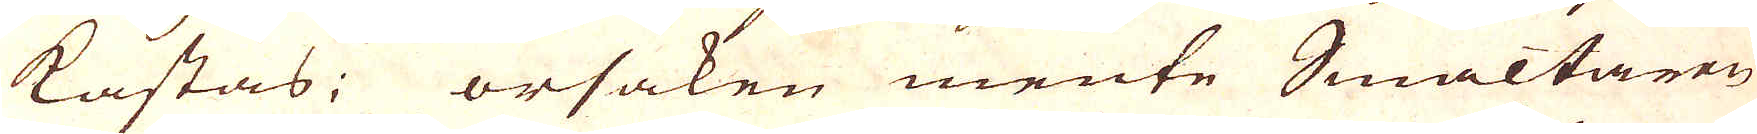kastas; orsaken mente Smältaren
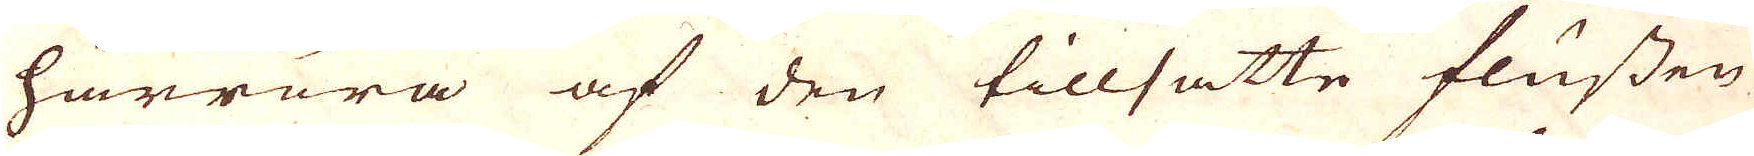härröra af den tillsätte flussen
